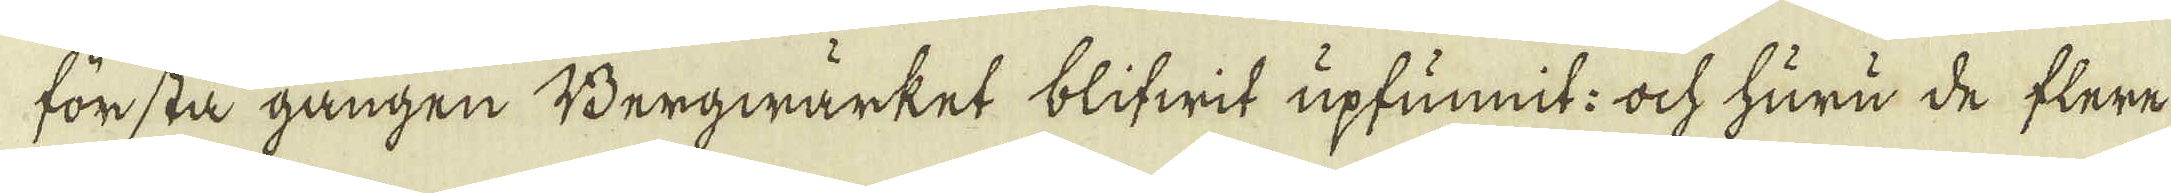första gången Bergwärket blifwit upfunnit: ock huru de flere
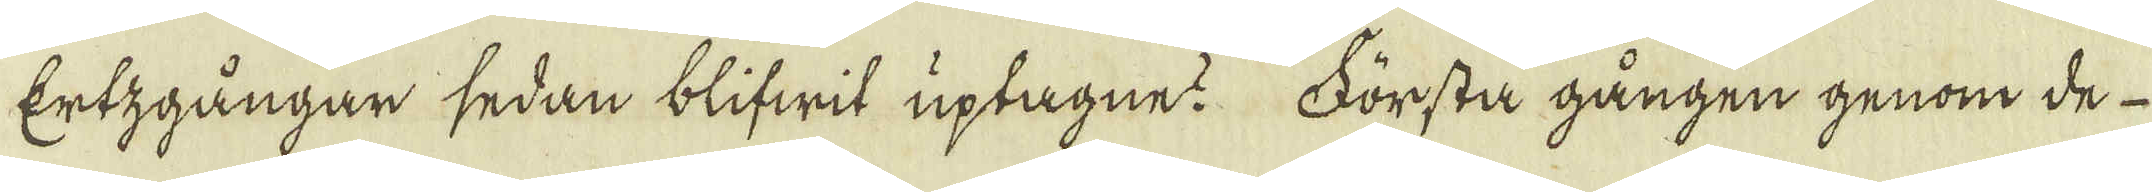Ertzgångar sedan blifwit uptagne? Första gången genom de
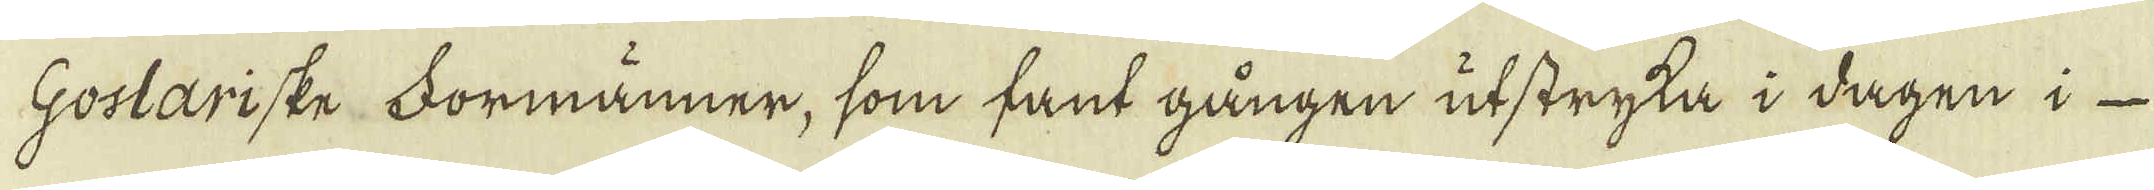Goslariske Formänner, som fant gången utstryka i dagen i
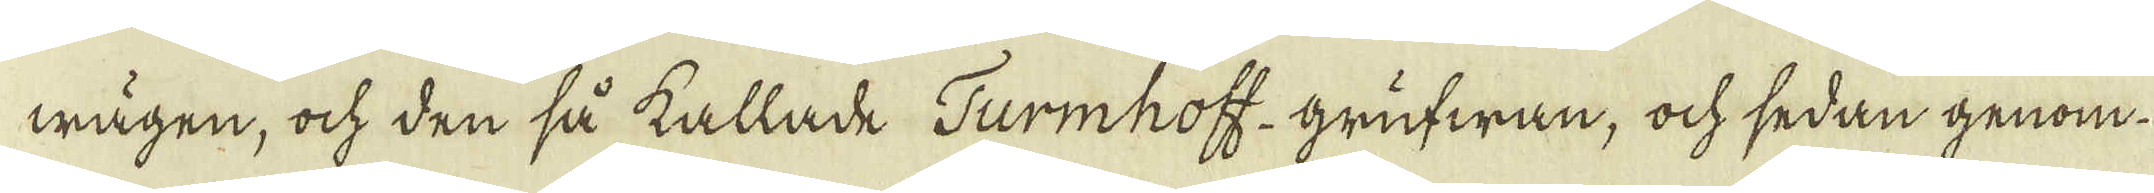wägen, ock den så kallade Turmhoff-grufwan, ock sedan genom
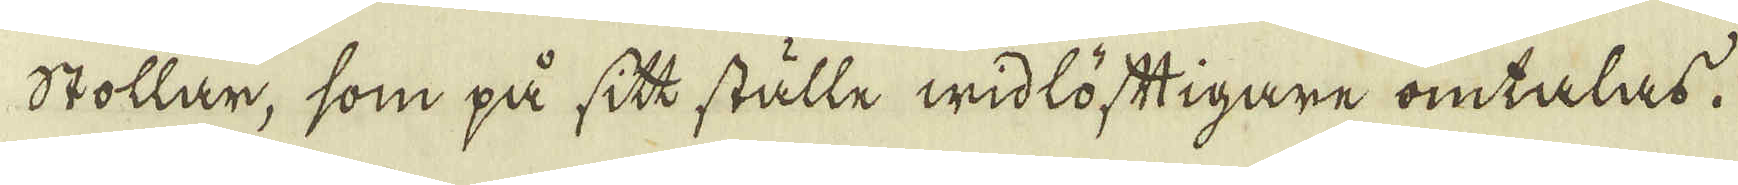stollar, som på sitt ställe widlöftigare omtalas.
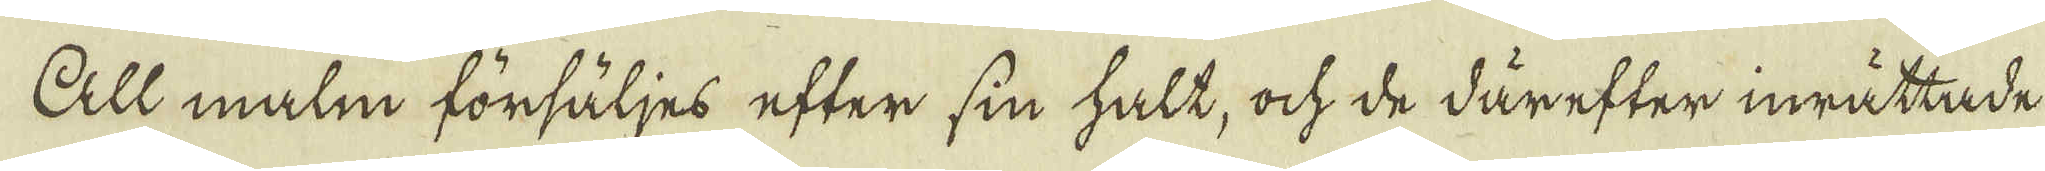All malm försäljes efter sin halt, ock de därefter inrättade
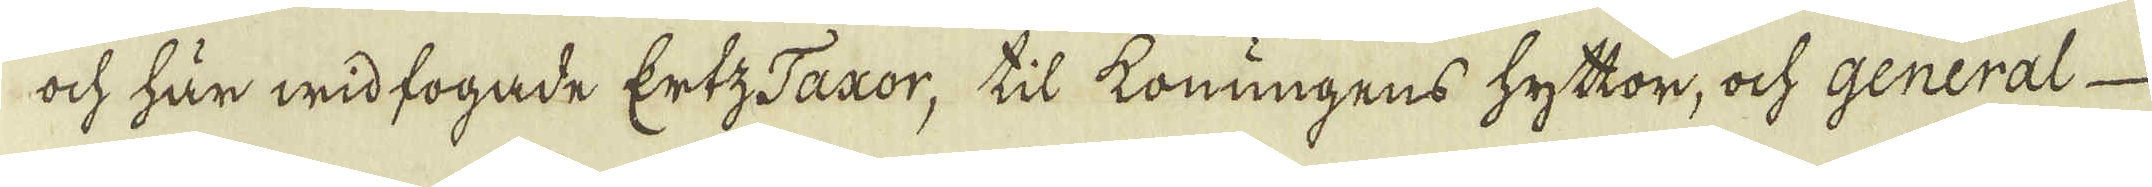och här wid fogade Ertz Taxor, til konungens hyttor, ock general
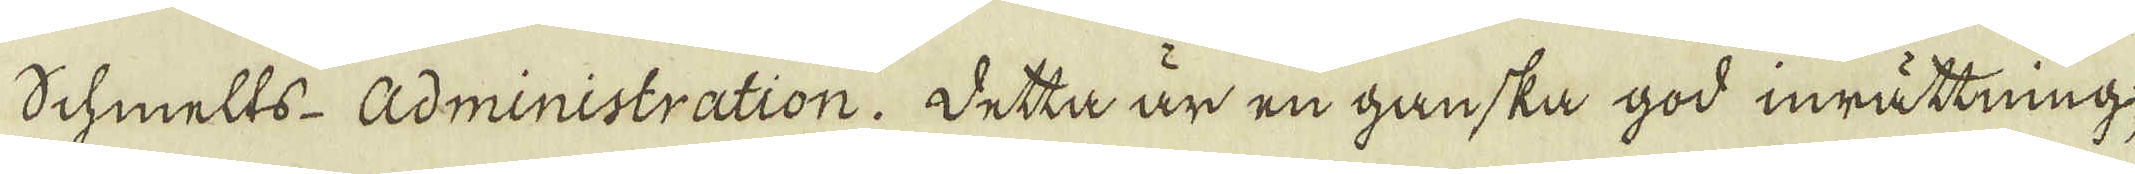Schmelts- Administration. Detta är en ganska god inrättning;
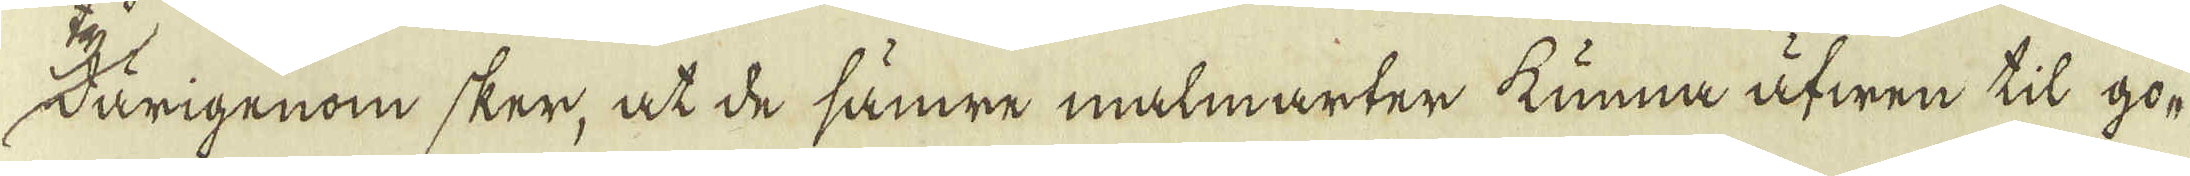därigenom sker, at de sämre malmarter kunna äfwen til go-
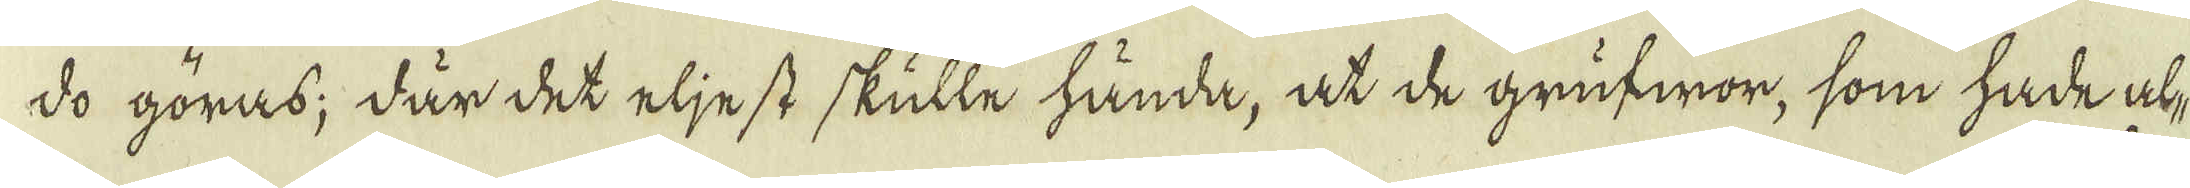do göras; där det eljest skulle hände, at de grufwor, som hade al-
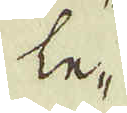le-
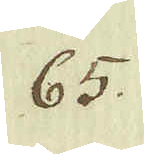65.
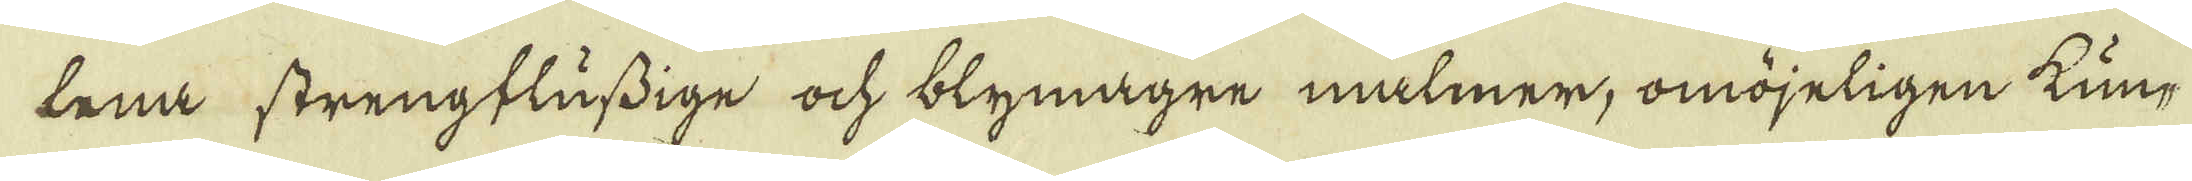lena strengflussige ock blymagre malmer, omöjeligen kun-
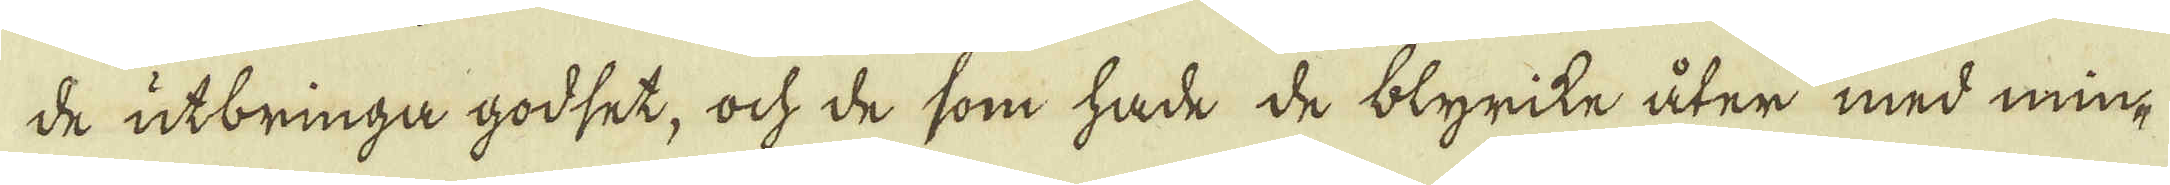de utbringa godset, ock de som hade de blyrike åter med min-
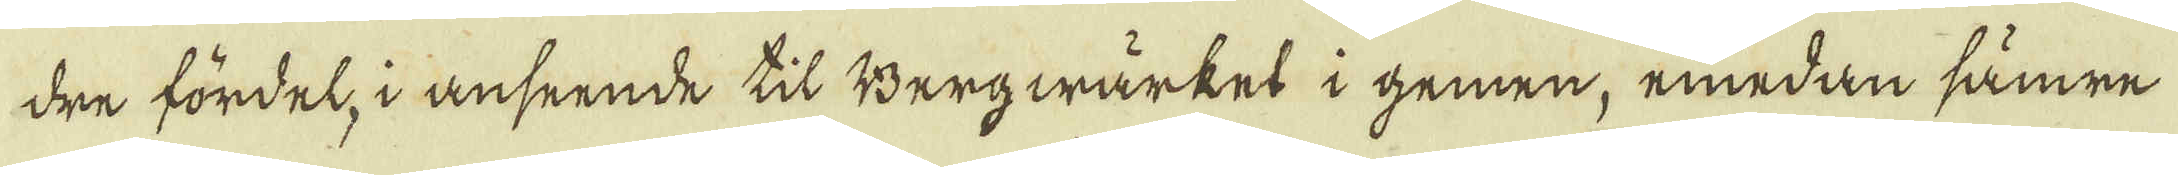dre fördel, i anseende til Bergwärkes i gemen, emedan sämre
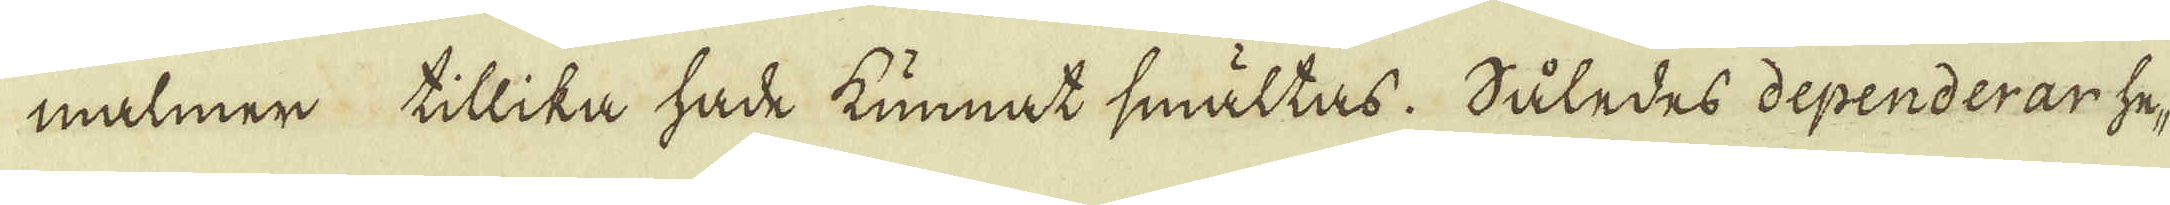malmer tillika hade kunnat smältas. Således dependerar he-
